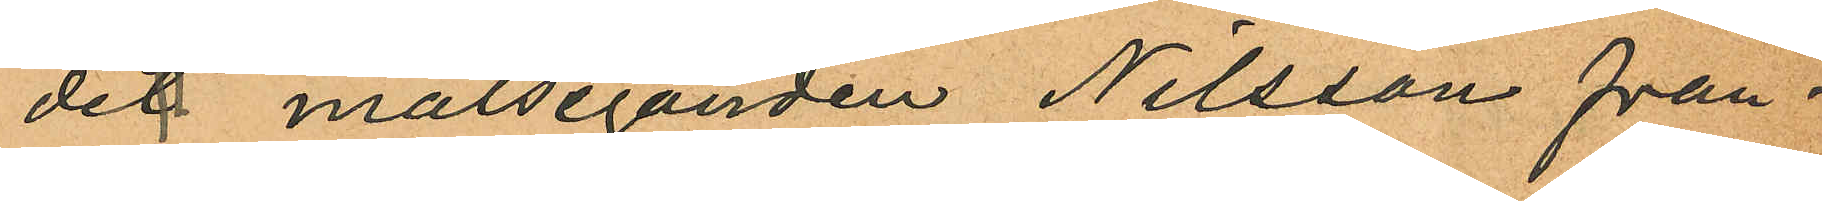det målseganden Nilsson från¬
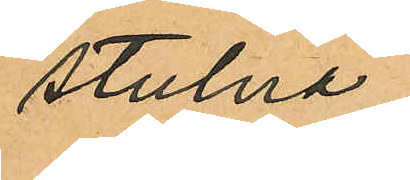stulna.
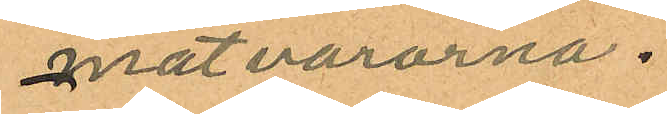matvarorna.
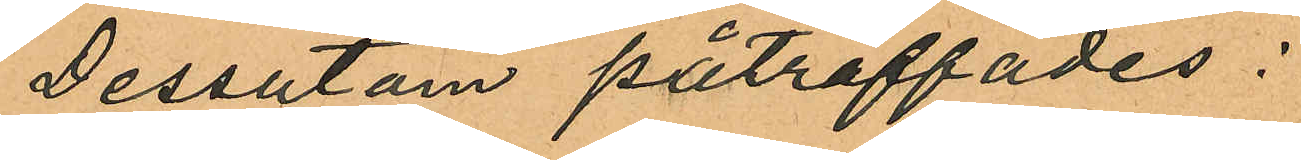Dessutom påträffades:
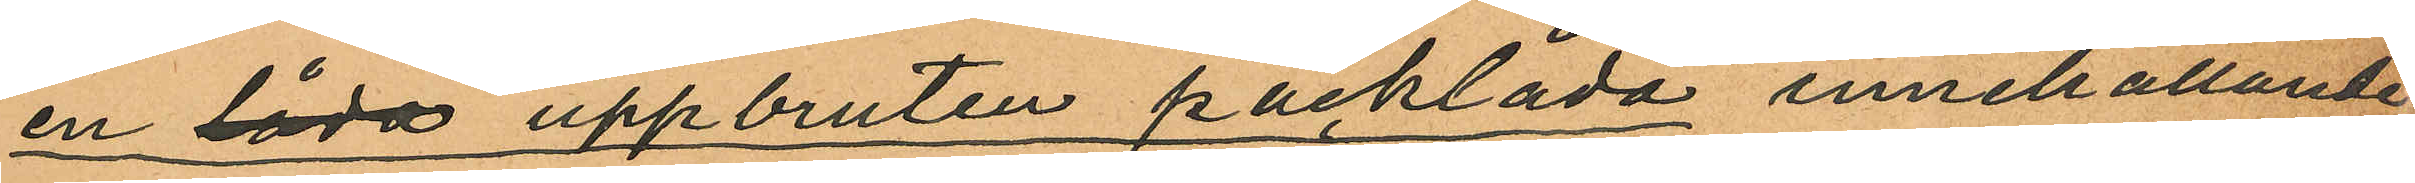en låda uppbruten packlåda innehållande
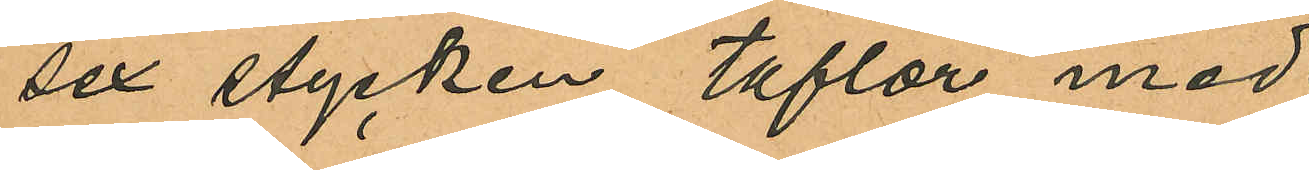sex stycken taflor med
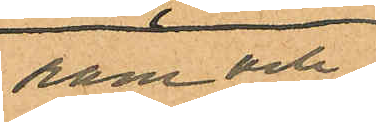ram och
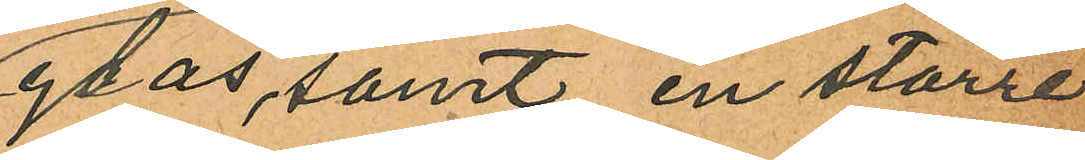glas, samt en större
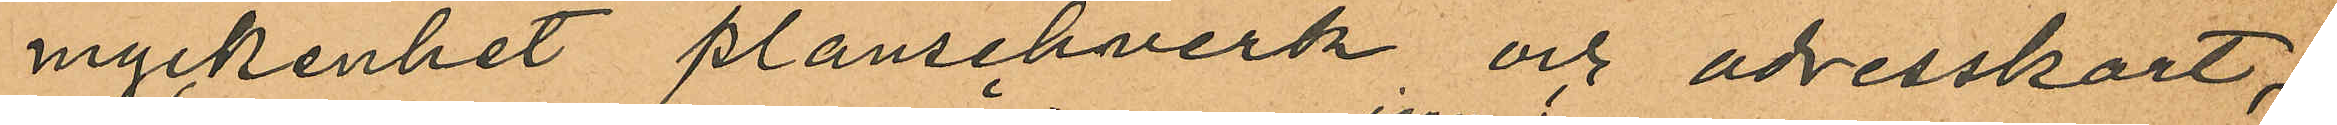myckenhet planschverk och adresskort;
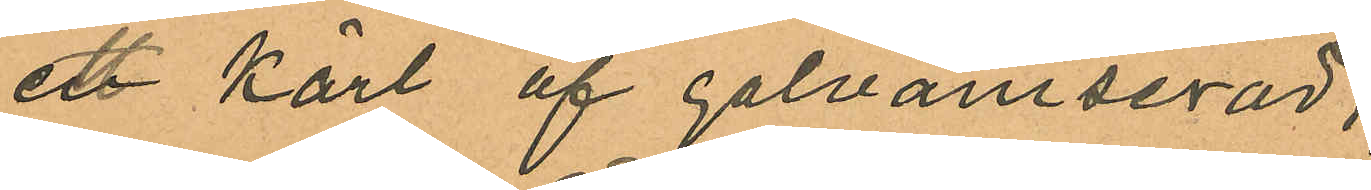ett kärl af galvaniserad,
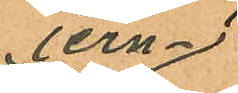jern¬
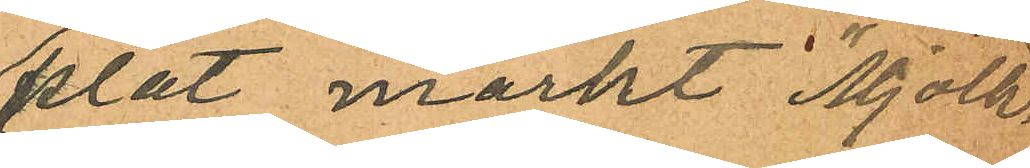plåt märkt "Mjölk¬
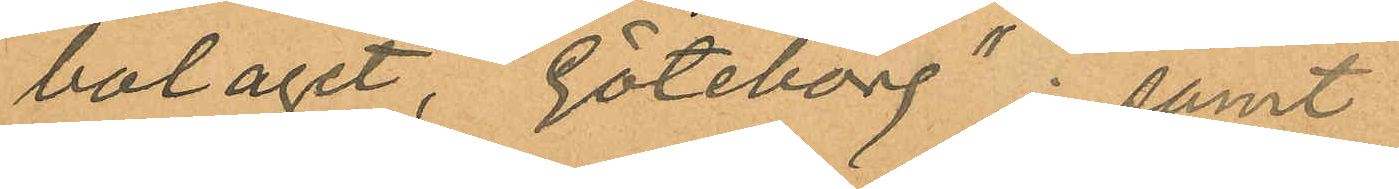bolaget, Göteborg"; samt
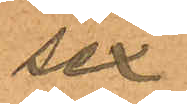sex
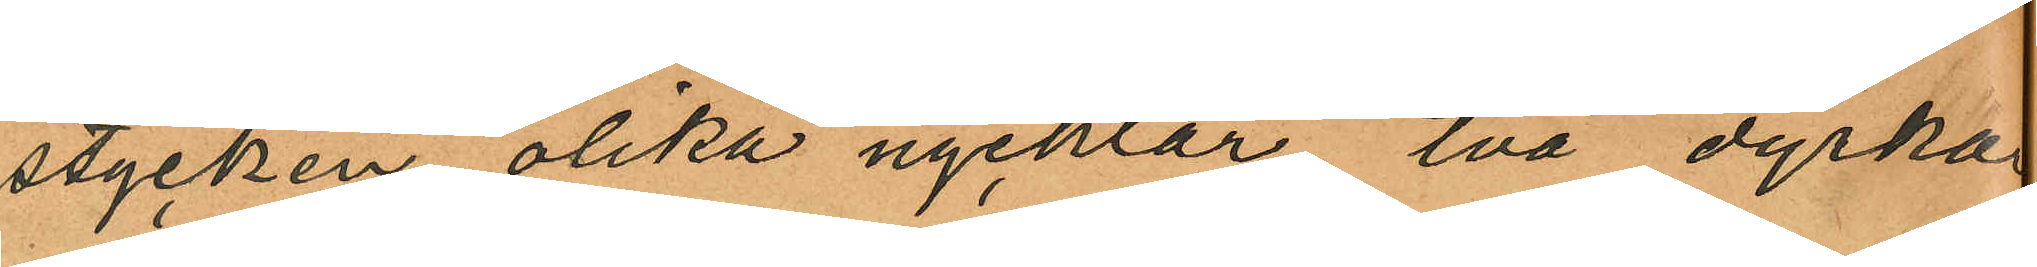stycken olika nycklar två dyrkar
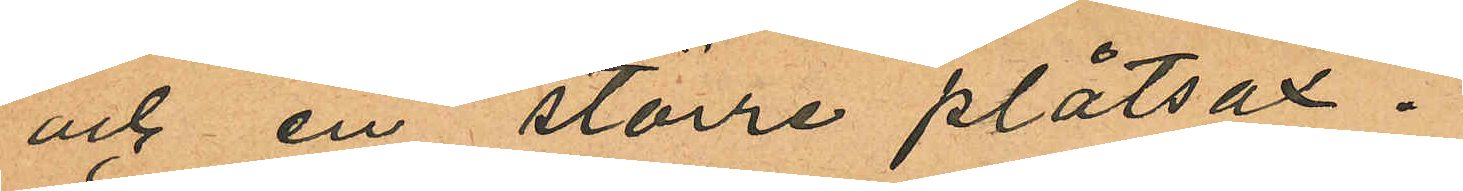och en större plåtsax.
